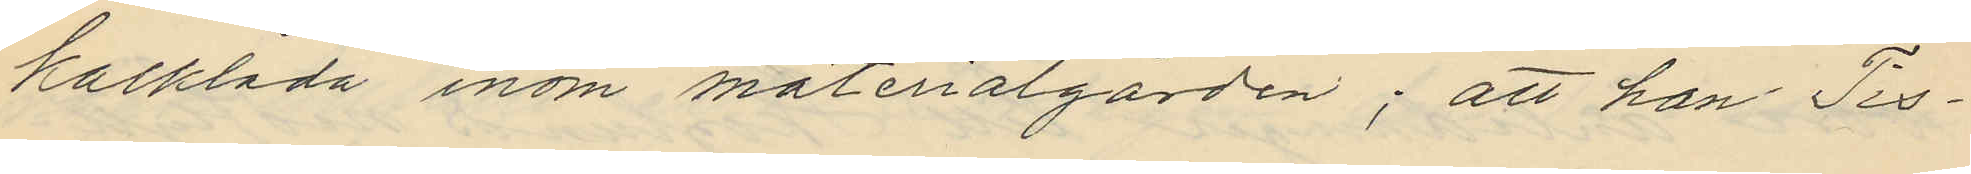kalklåda inom materialgården; att han Tis¬
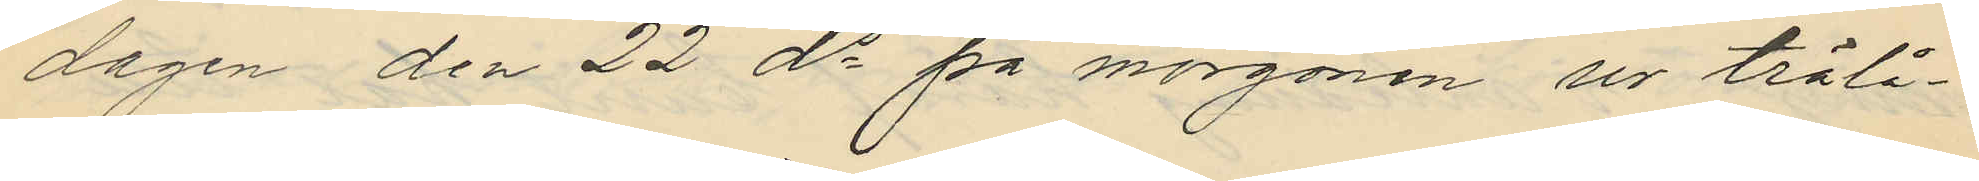dagen den 22 ds på morgonen ur trälå¬
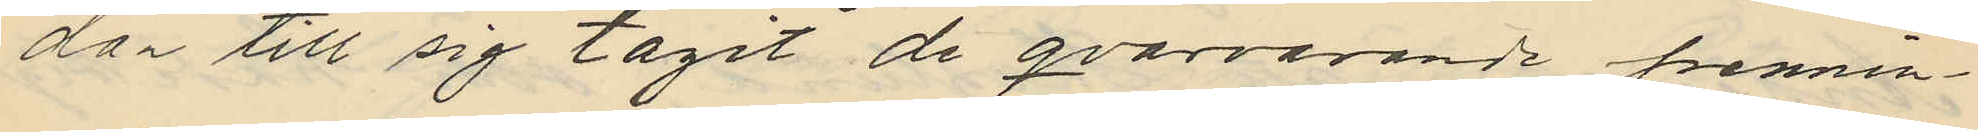dan till sig tagit de qvarvarande pennin¬
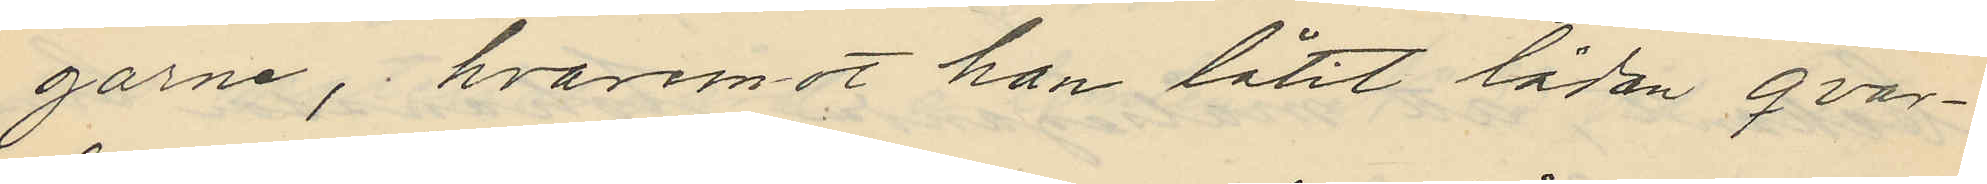garne, hvaremot han låtit lådan qvar¬
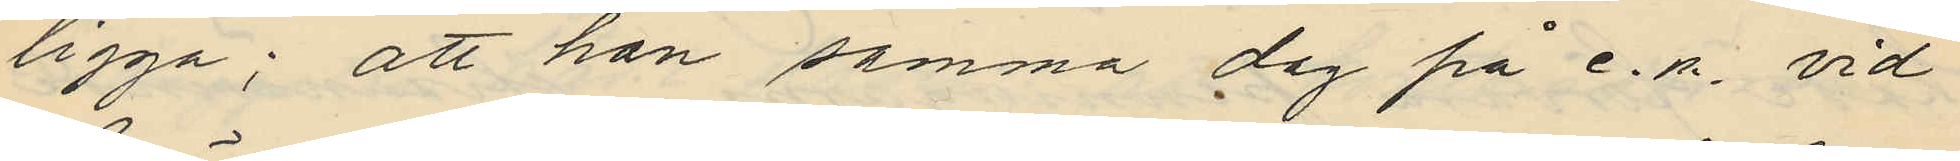ligga; att han samma dag på e.m. vid
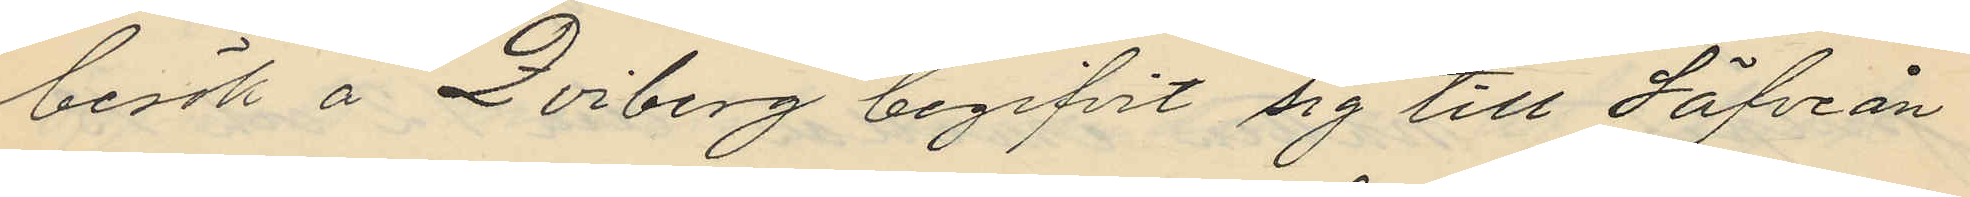besök å Qviberg begifvit sig till Säfveån
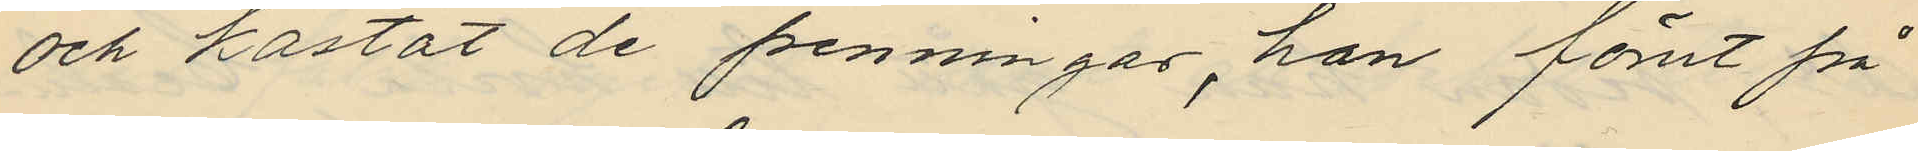och kastat de penningar, han förut på
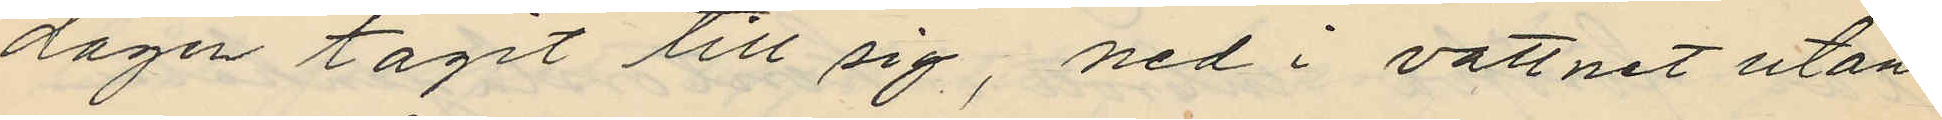dagen tagit till sig, ned i vattnet utan
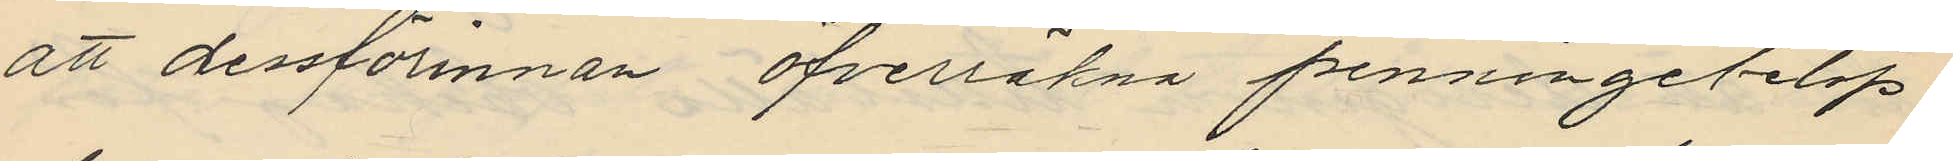att dessförinnan öfverräkna penningebelop¬
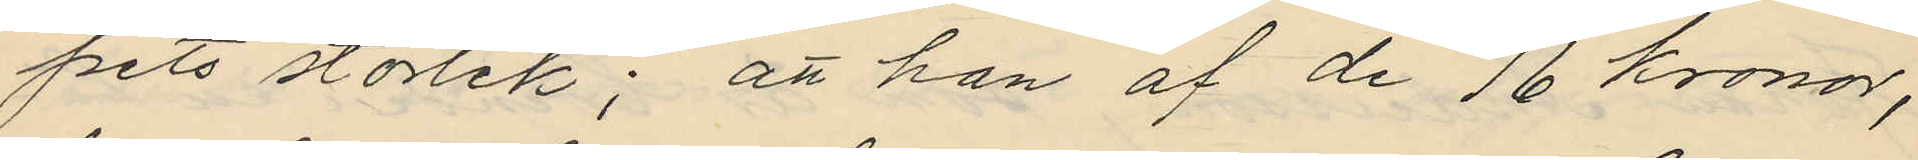pets storlek; att han af de 16 kronor,
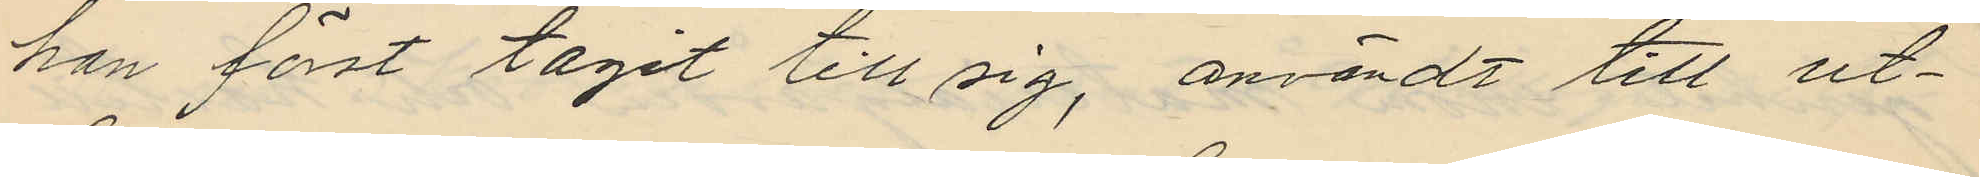han först tagit till sig, användt till ut¬
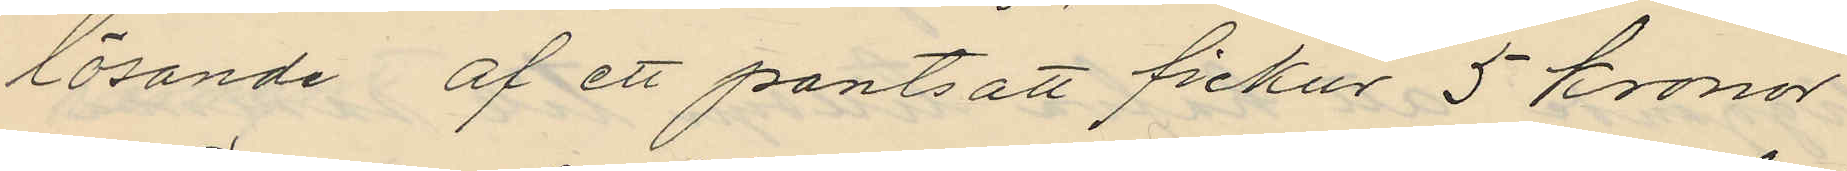lösande af ett pantsatt fickur 5 kronor
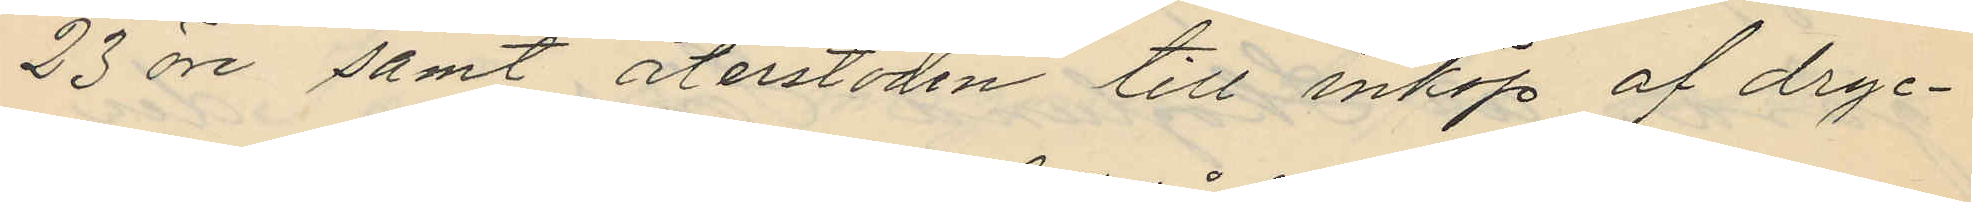23 öre samt återstoden till inköp af dryc¬
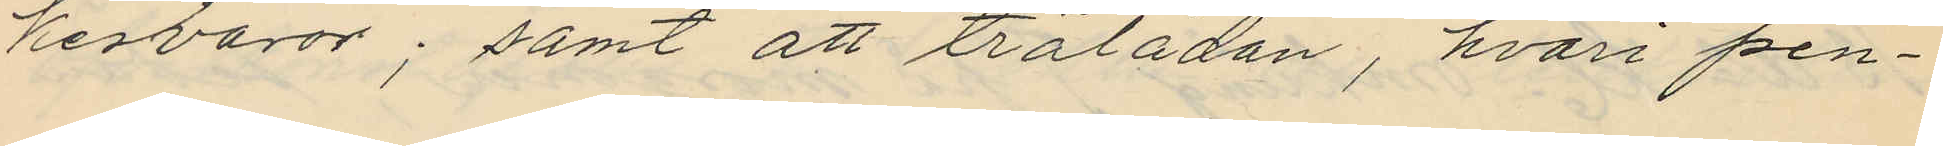kesvaror; samt att trälådan, hvari pen¬
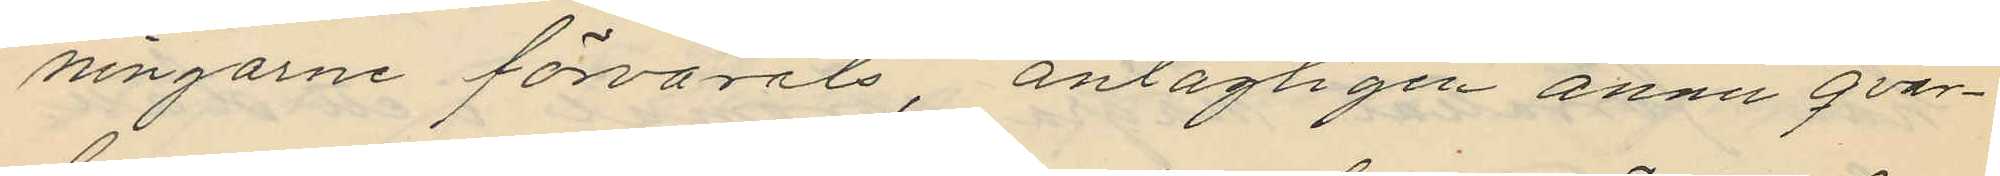ningarne förvarats, antagligen ännu qvar¬
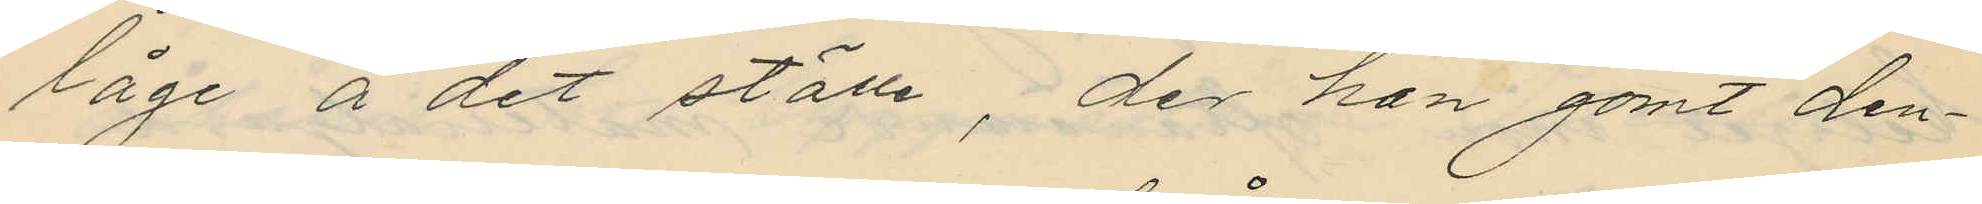låge å det ställe, der han gömt den¬
